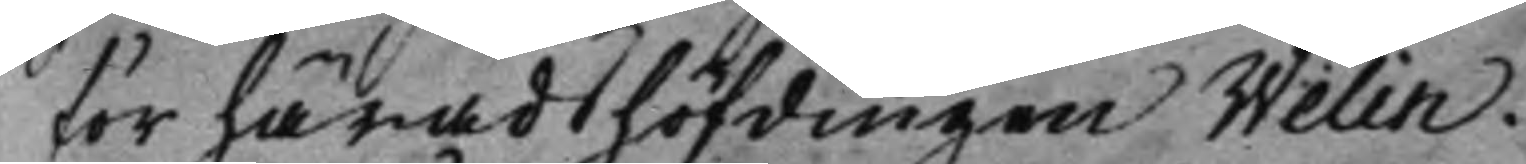för häradshöfdingen Welin.
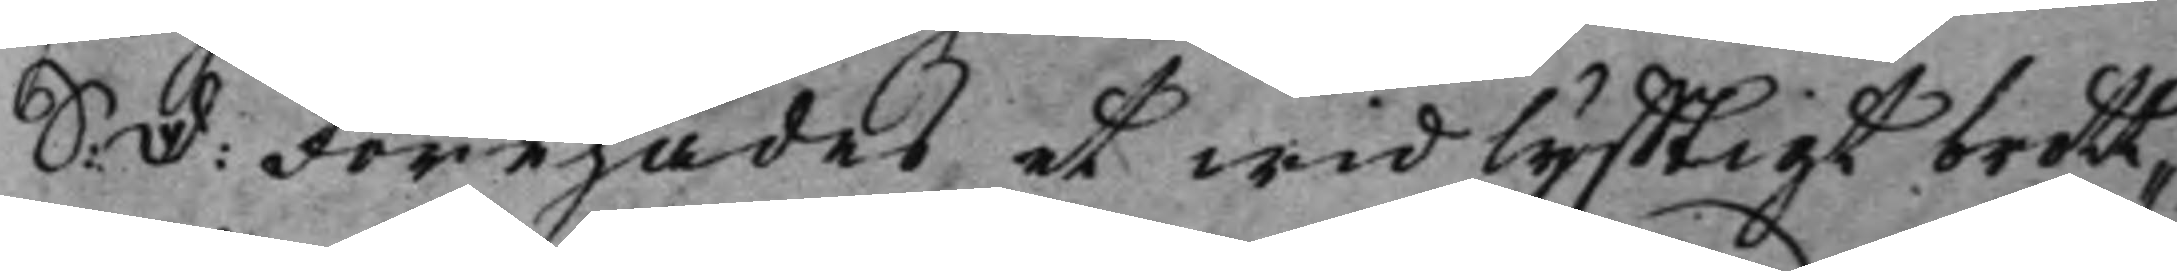S: D: Förehades et widlyfftigt brott¬
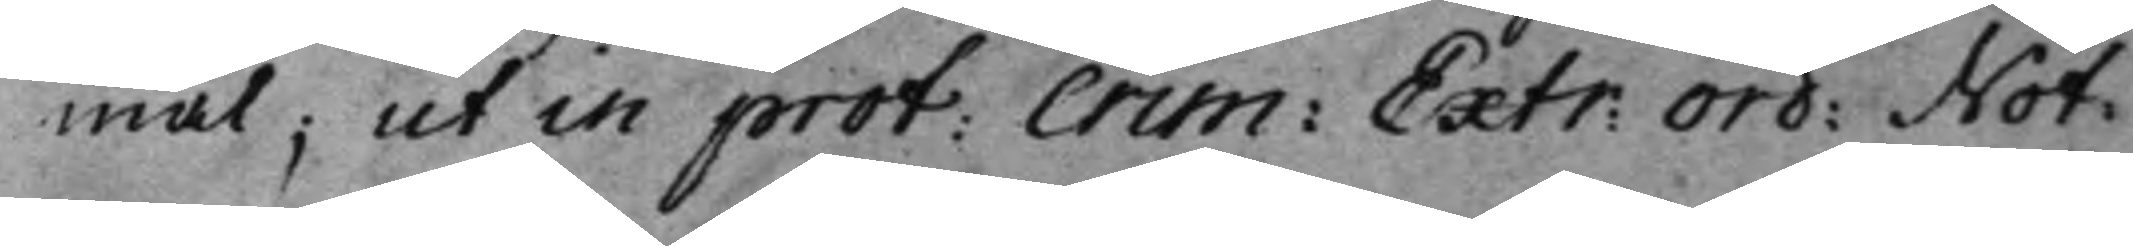mål; ut in prot: Crim: Extr: Ord: Not:
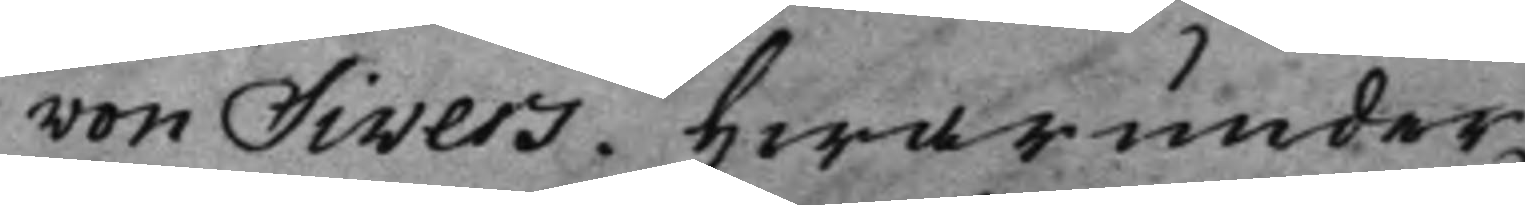von Sivers. Hwarunder,
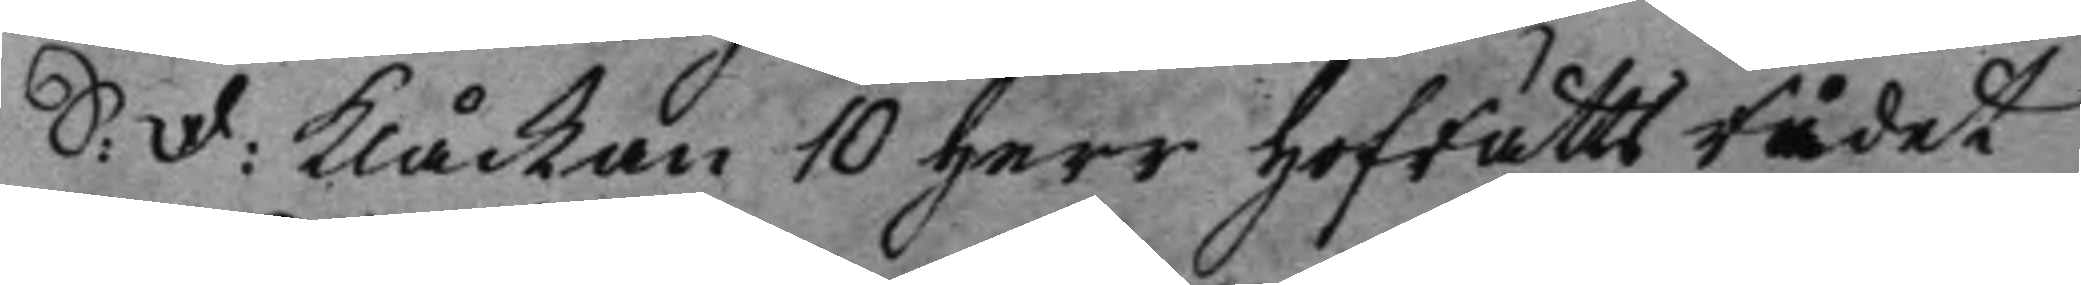S: D: Klåckan 10 Herr HofRättsRådet
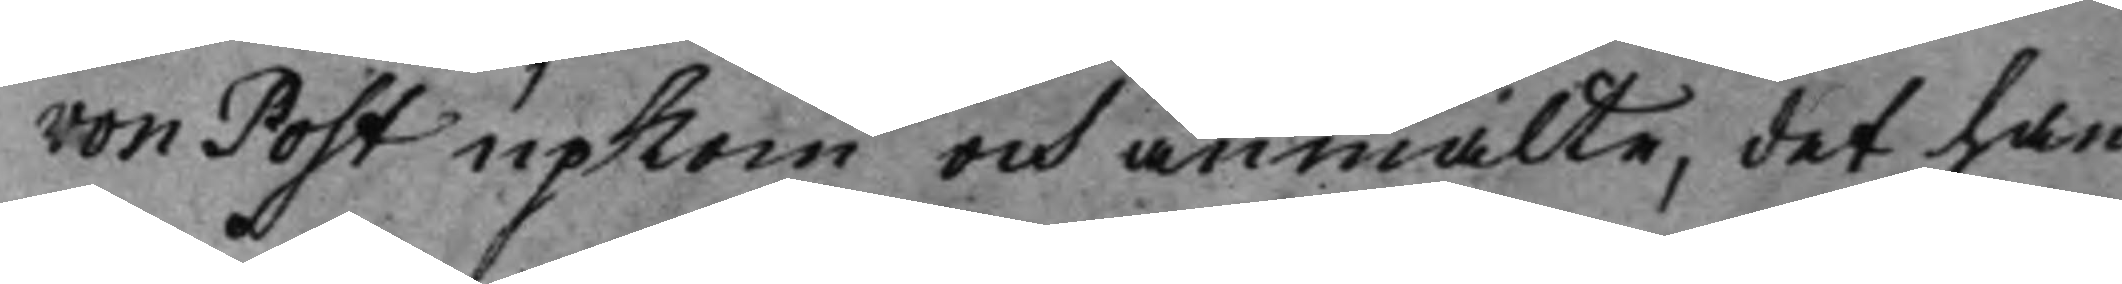von Post upkom och anmälte, det han
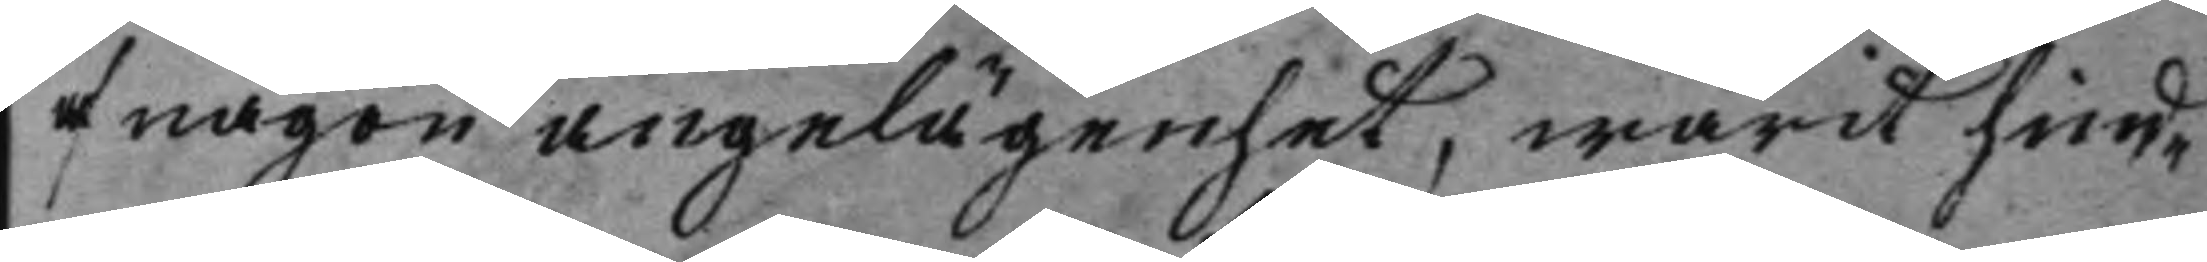af någon angelägenhet, warit hind¬
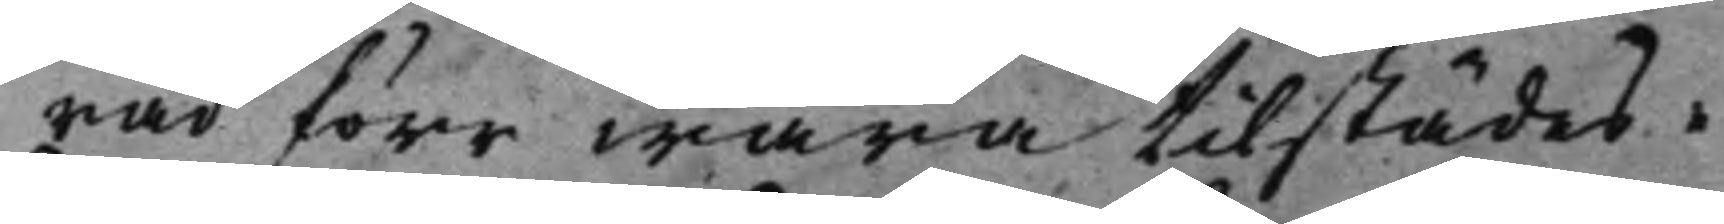rad förr wara tilstädes.
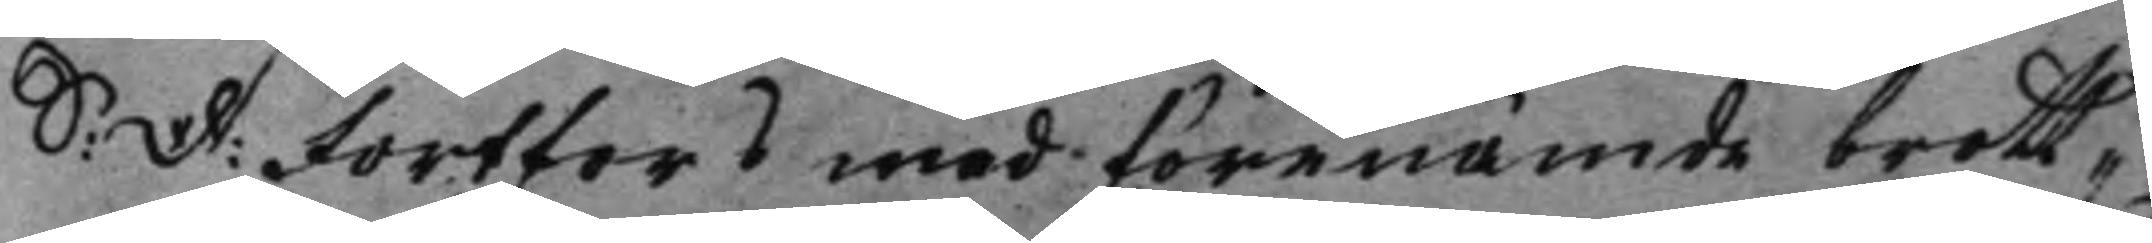S: D: Fortfors med förenämde brott¬
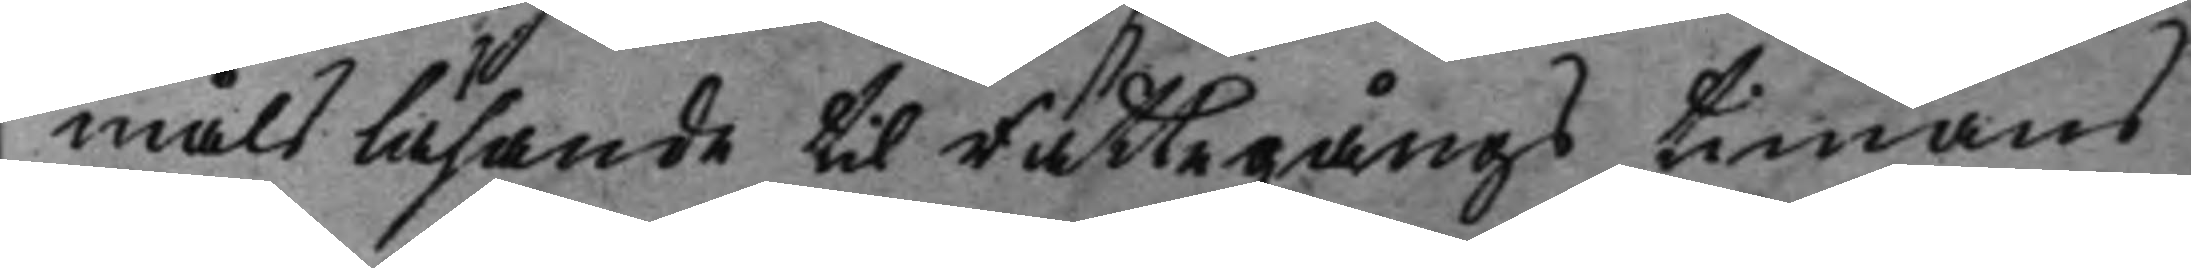måls läsande til Rättegångs timans
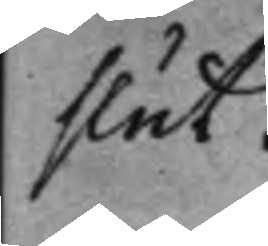slut.
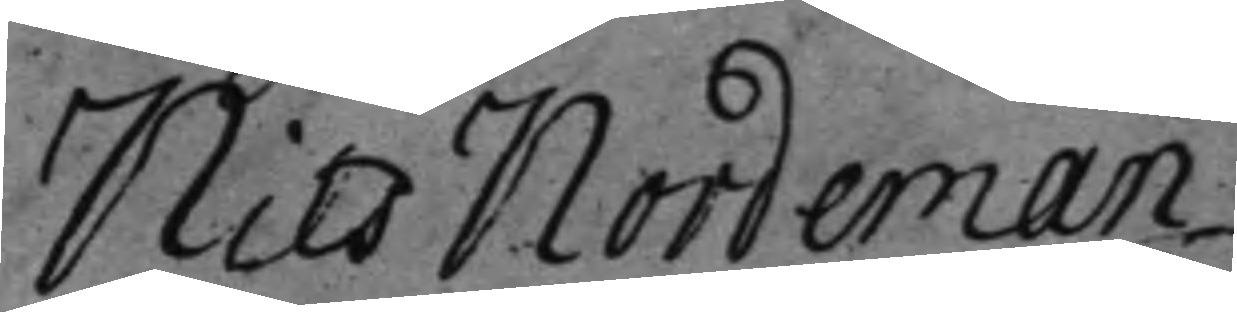Nils Nordeman
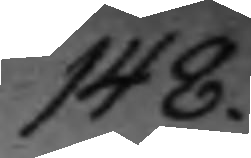148.
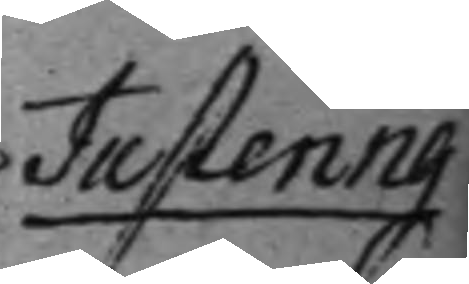Justering
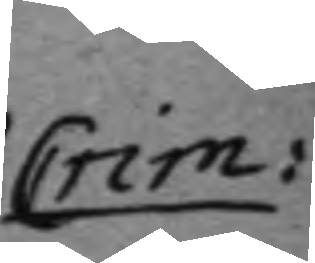Crim:
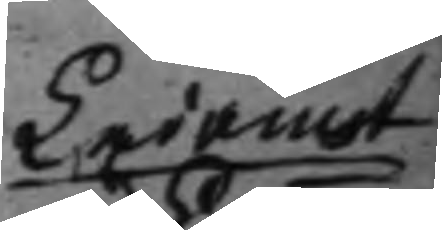Ledamot
